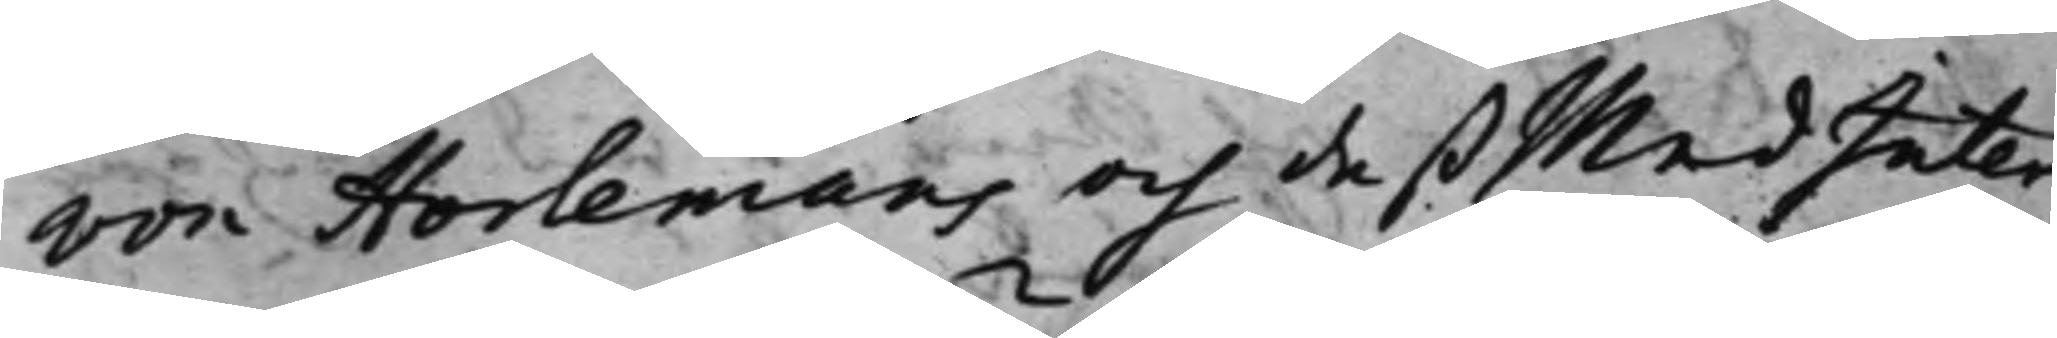von Horlemans och deß MedInter¬
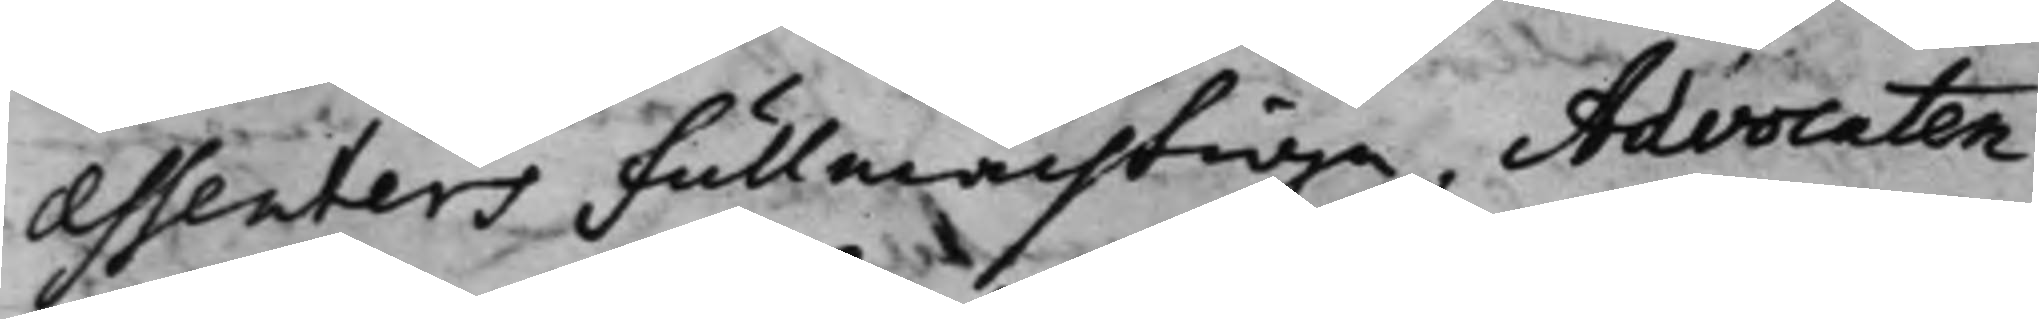essenters fullmächtige. Advocaten
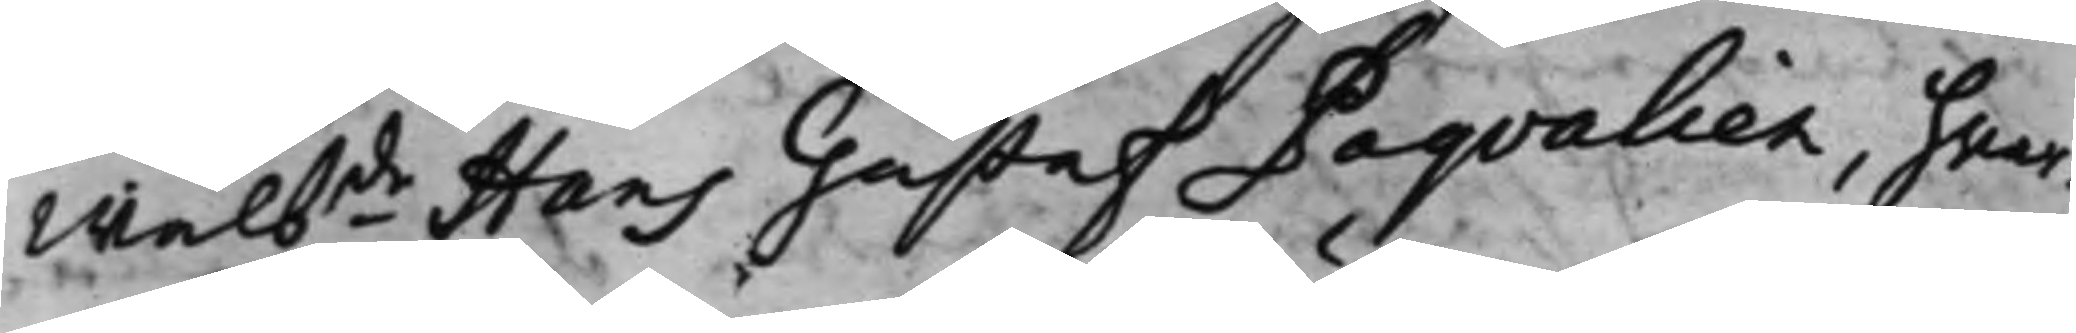Wälbde Hans Gustaf Paqvalien, hvar¬
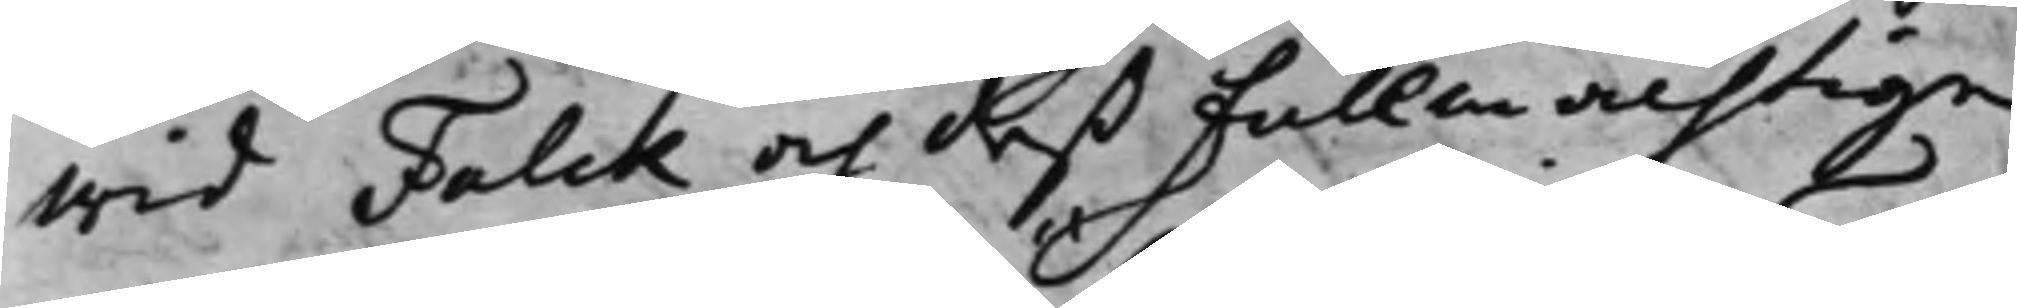wid Falck och deß fullmachtige
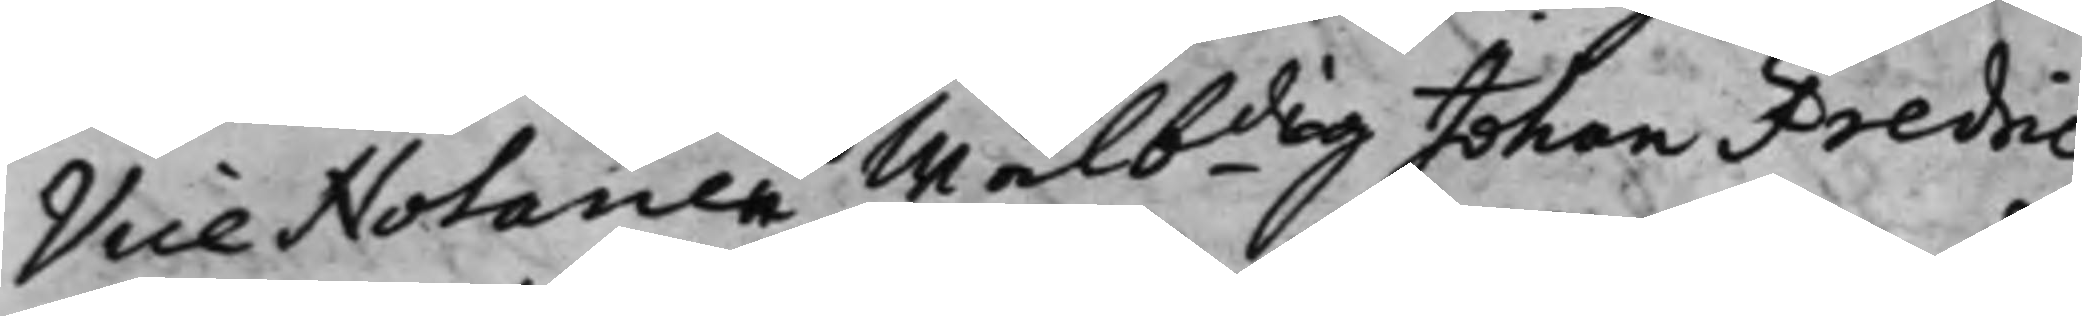Vice Notarien Wälbdig Johan Fredric
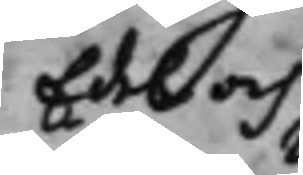Edel och
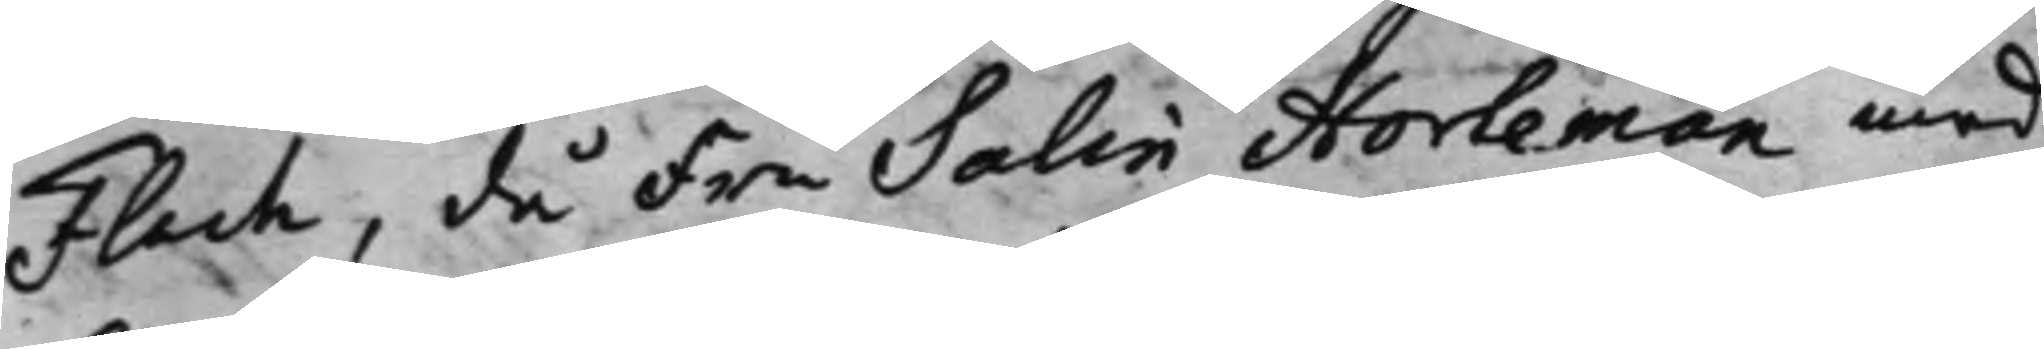Flach, då Fru Salin Horleman med
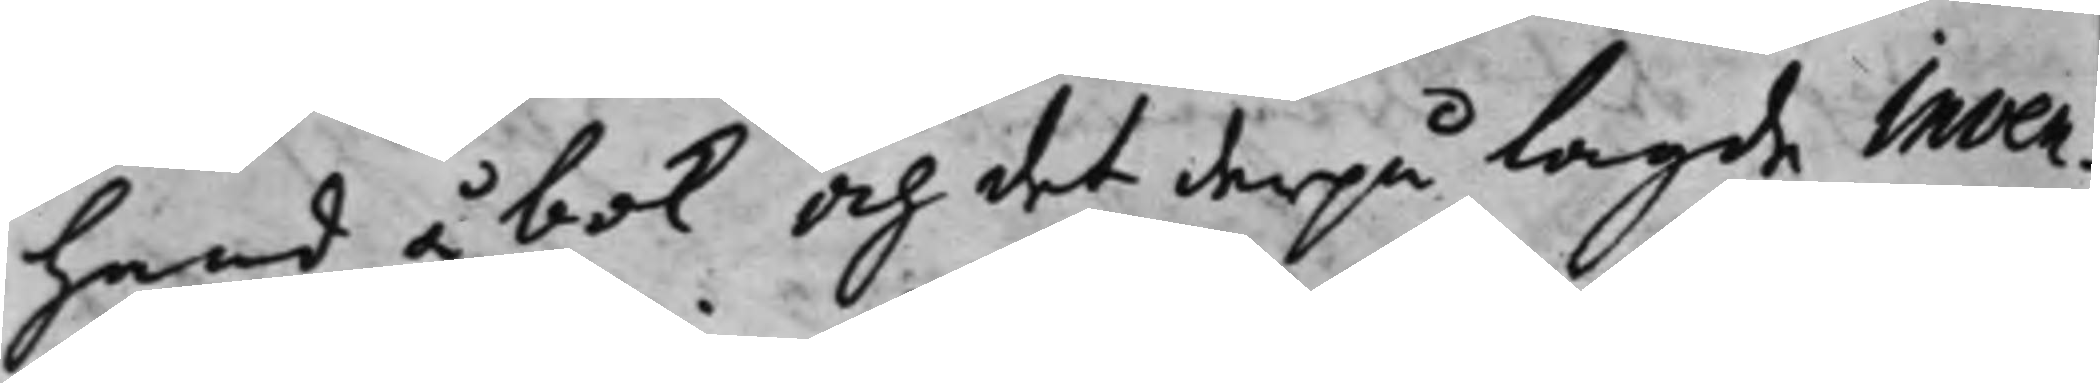Hand å bok och det derpå lagde Inven¬
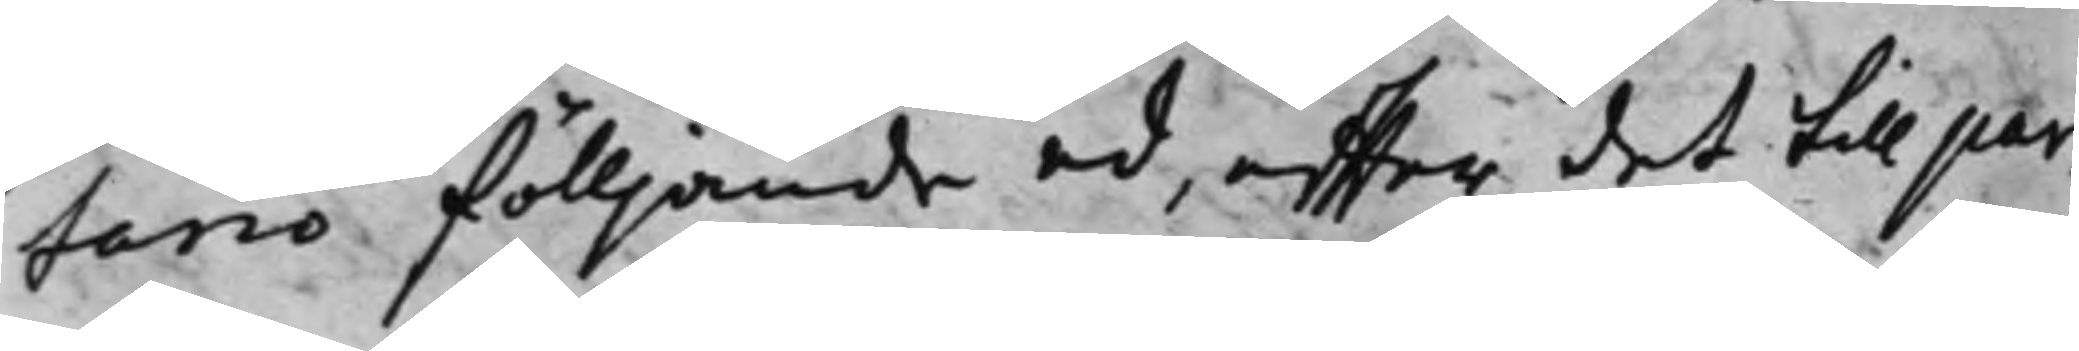tario fölljande ed, effter det till par¬
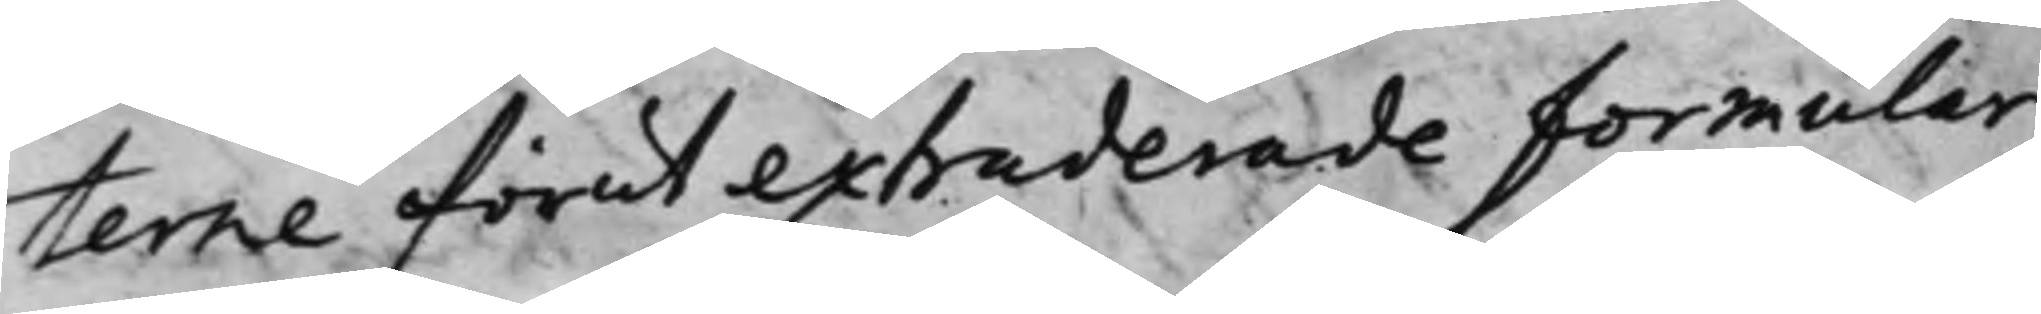terne förut extraderade formular,
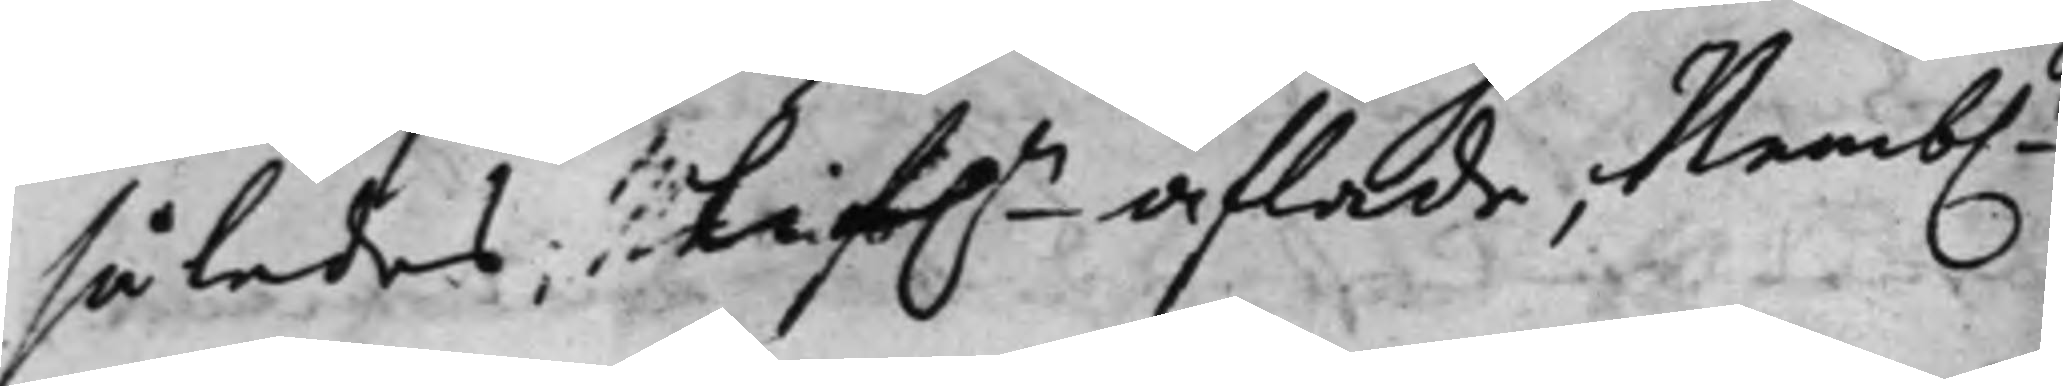således; lif.n aflade, Nemb.n
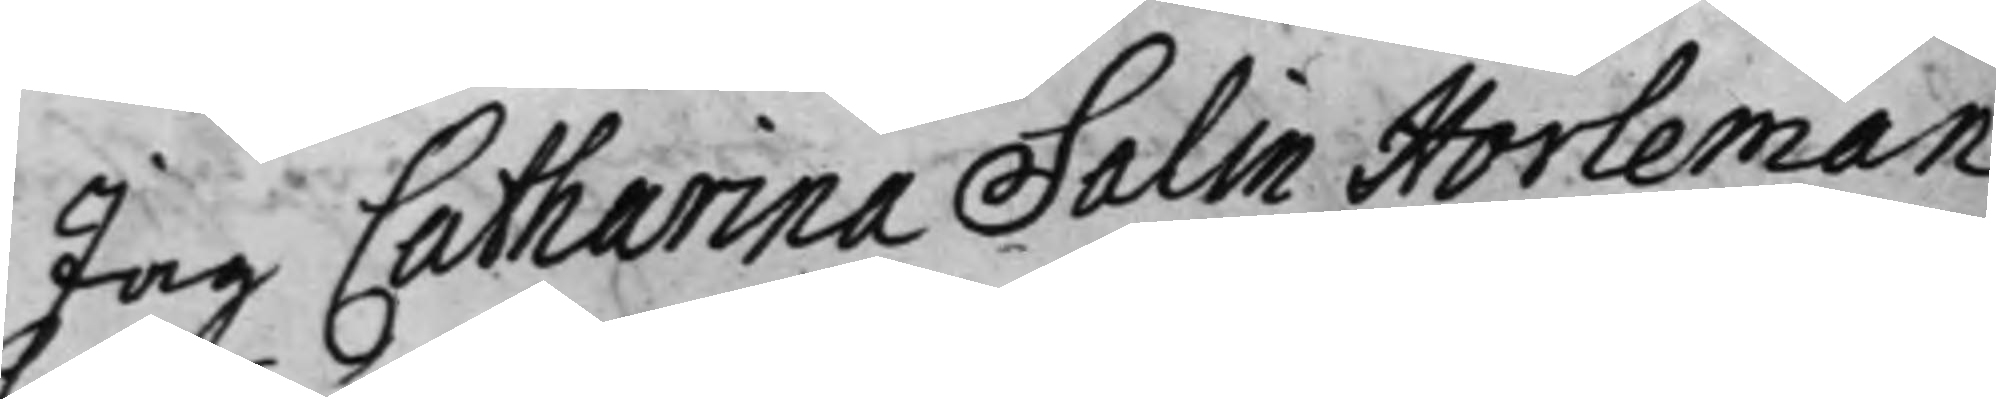Jag Catharina Salin Horleman
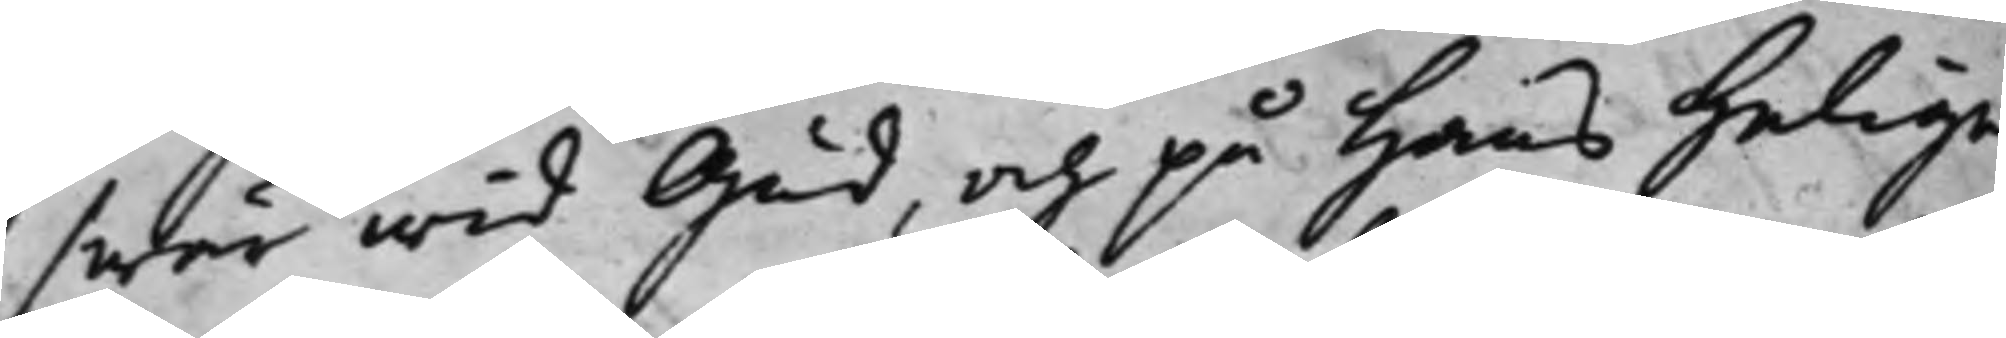swär wid Gud, och på Hans Heliga
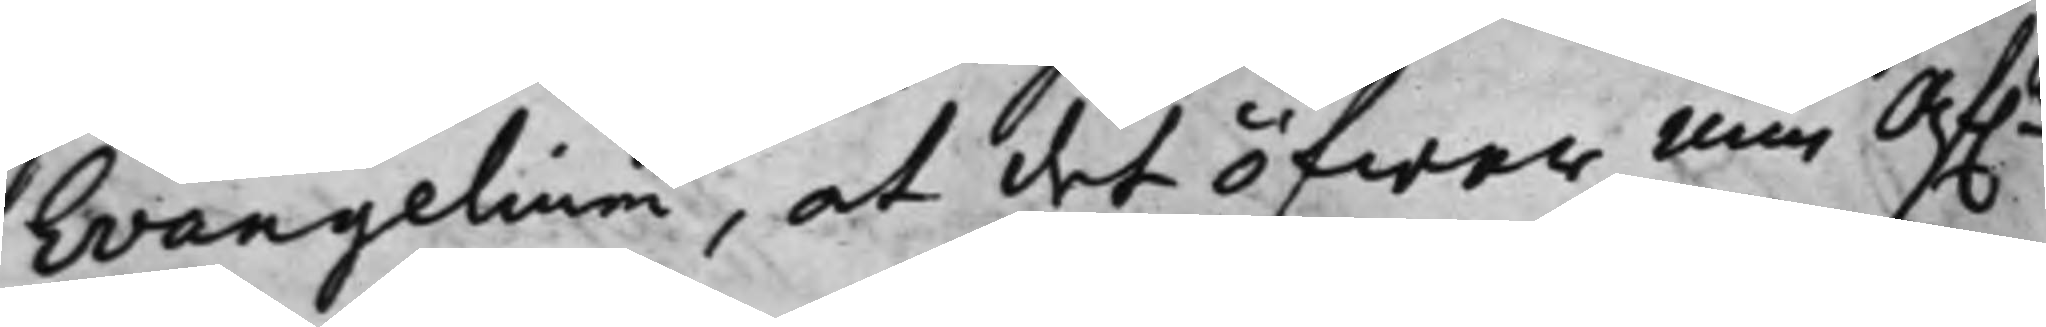Evangelium, at det öfwer min Af.ne
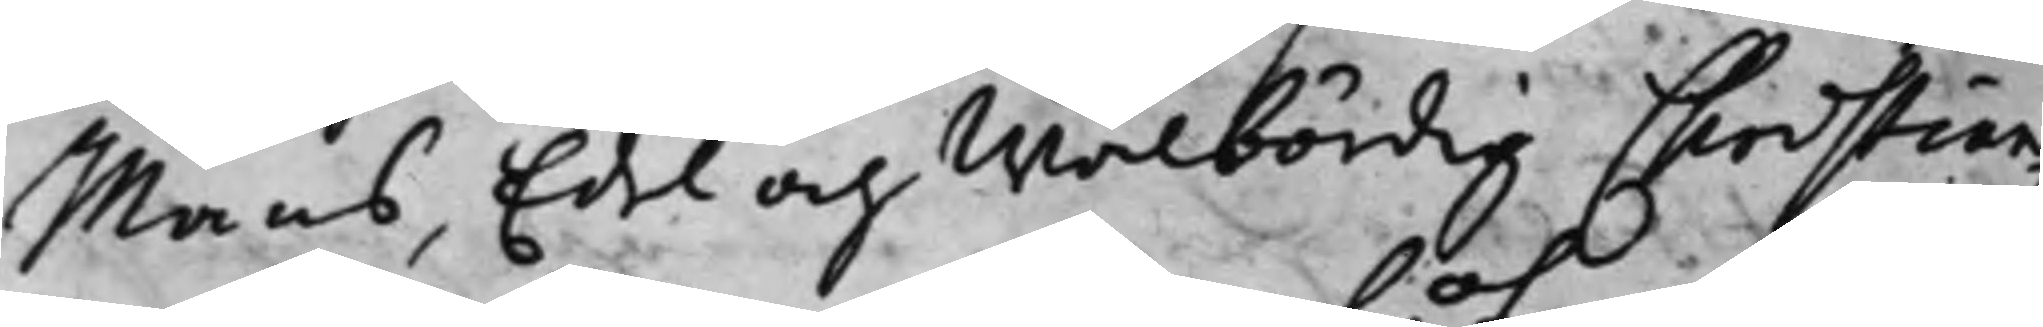Mans, Edel och Wälbördig Christian
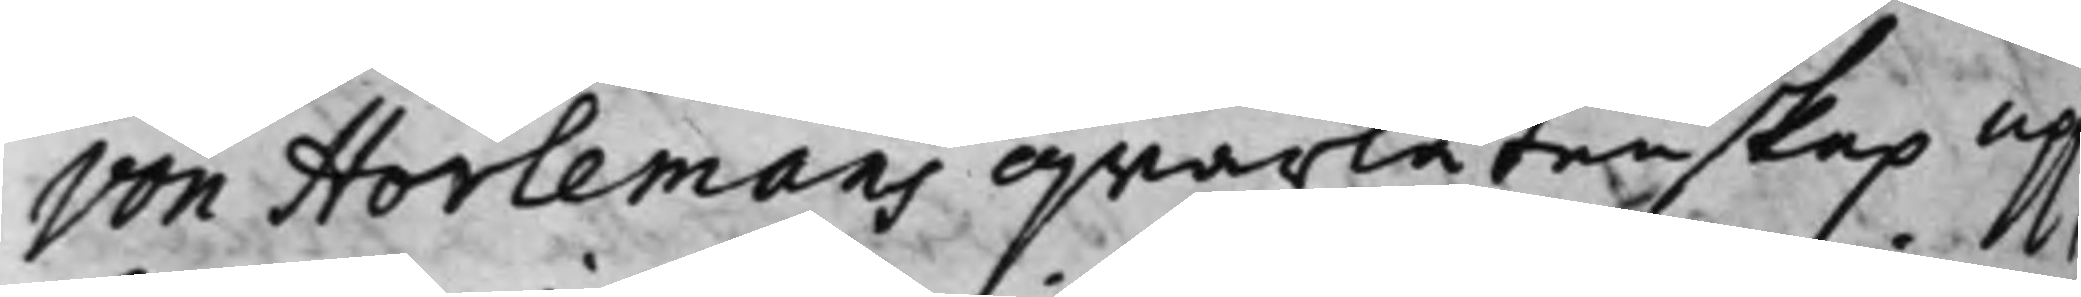von Horlemans qwarlåtenskap upp¬
